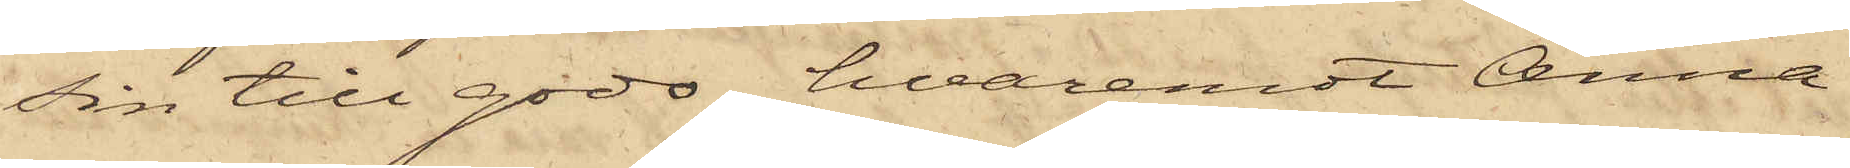sin till godo, hvaremot Anna
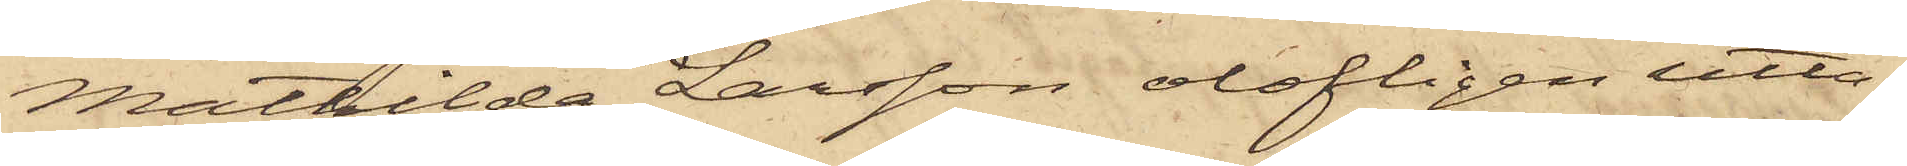Mathilda Larsson olofligen utta¬
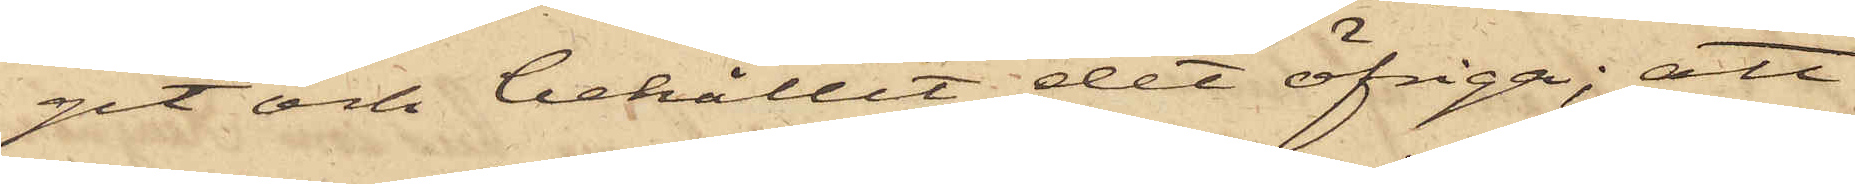git och behållit det öfriga; att
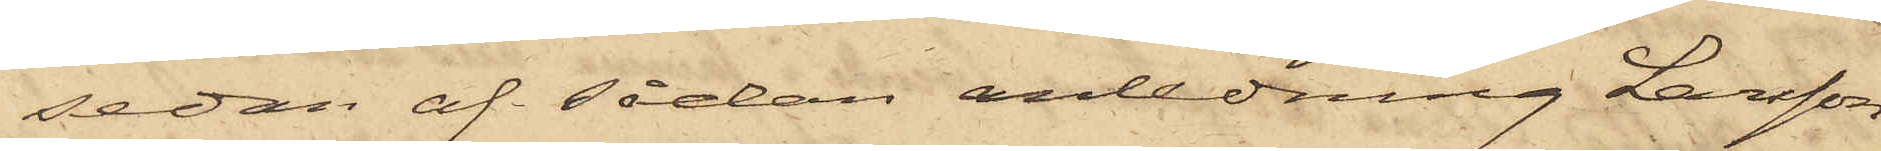sedan af sådan anledning Larsson
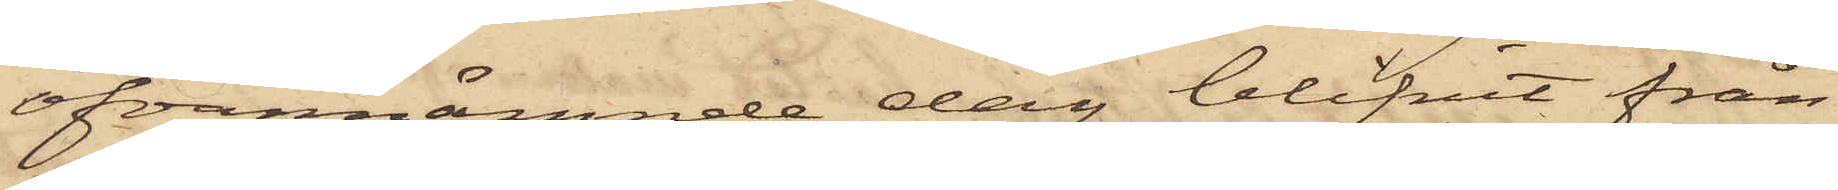ofvannämnde dag blifvit från
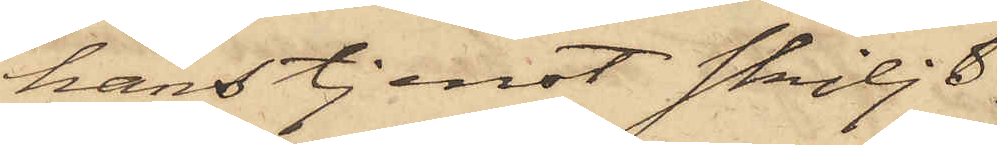hans tjenst skiljd,
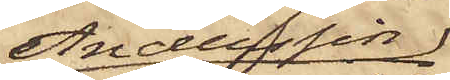Anderssin
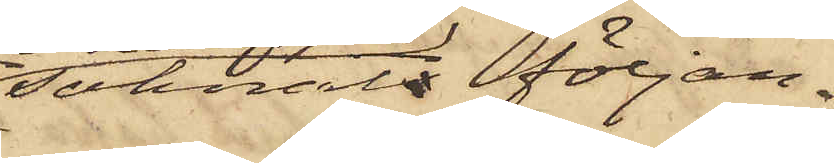saknats följan¬
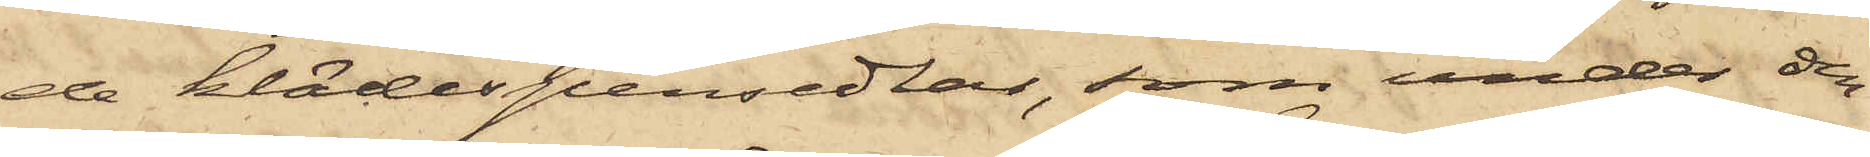de klädespersedlar, som under den
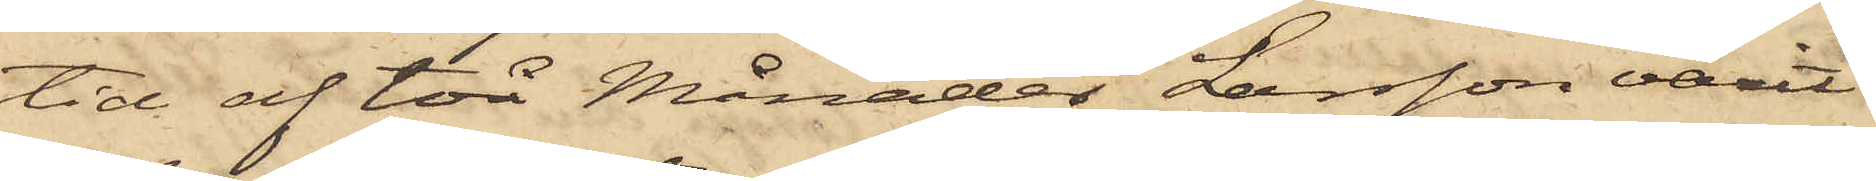tid af två Månader Larsson varit
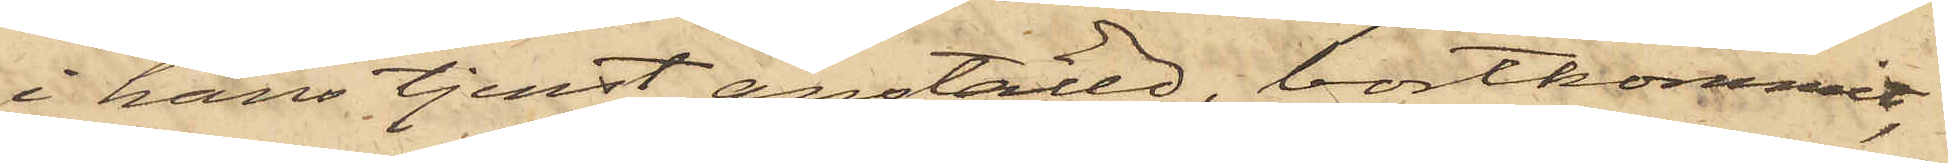i hans tjenst anställd, bortkommit,
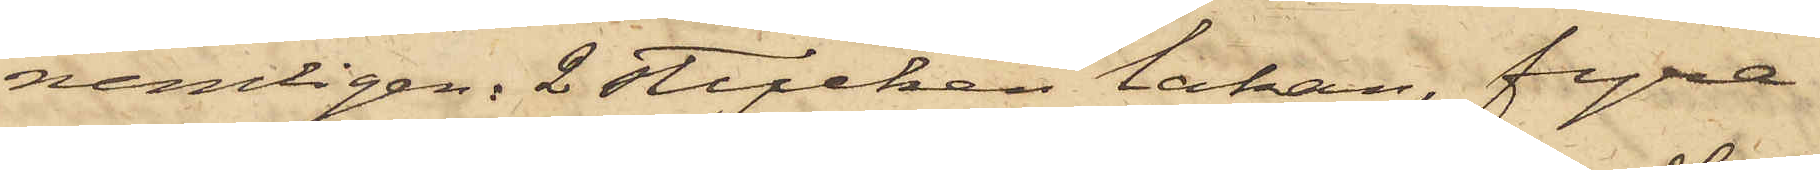nemligen: 2 stycken lakan, fyra
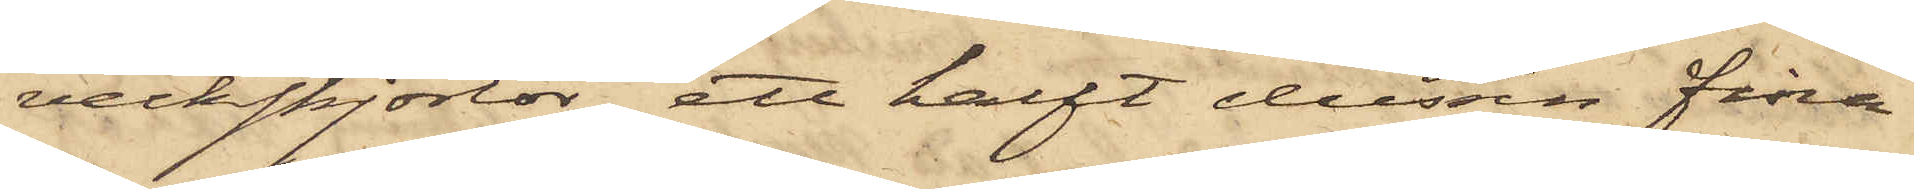veckskjortor, att halft dussin fina
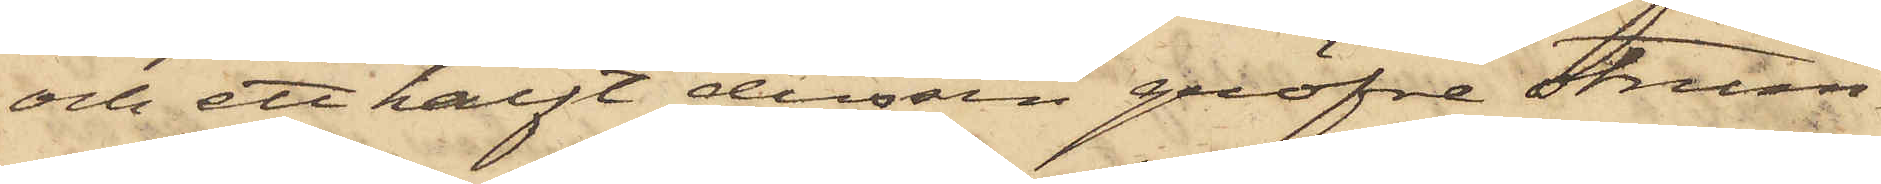och ett halft dussin gröfre strum¬
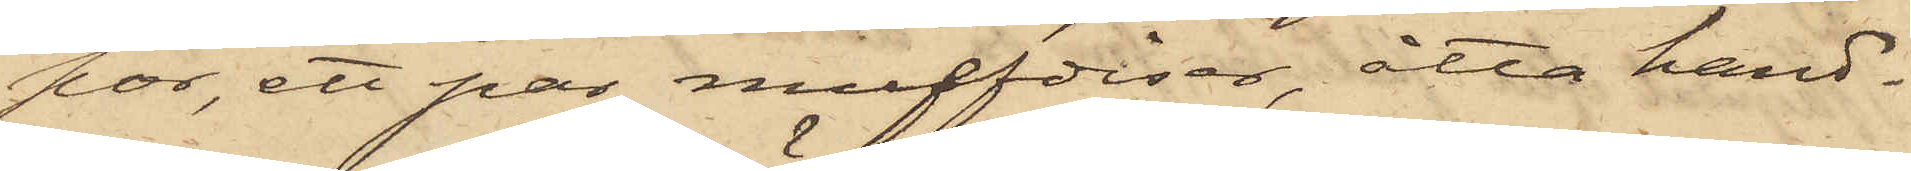por, ett par muffdiser, åtta hand¬
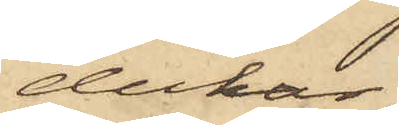dukar,
